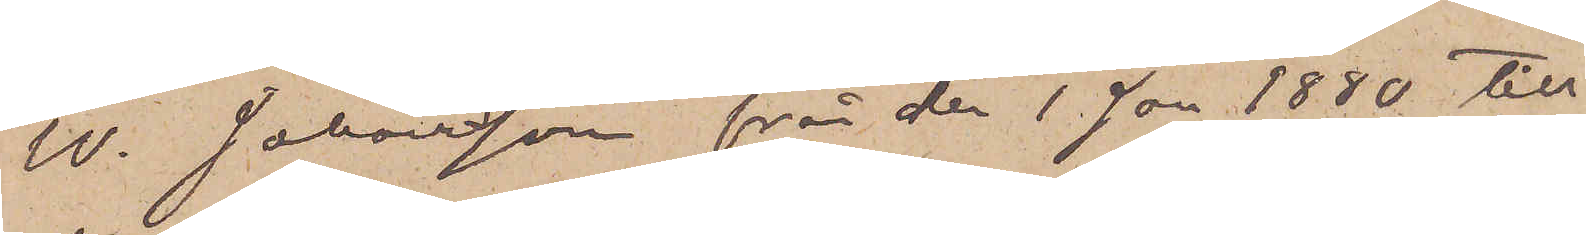W. Johansson från den 1 Jan 1880 till
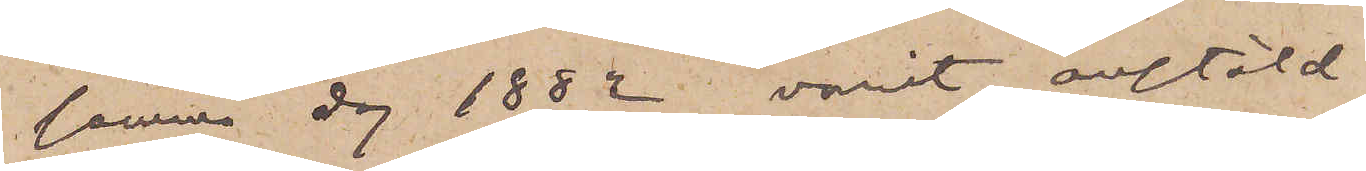samma dag 1882 varit anstäld
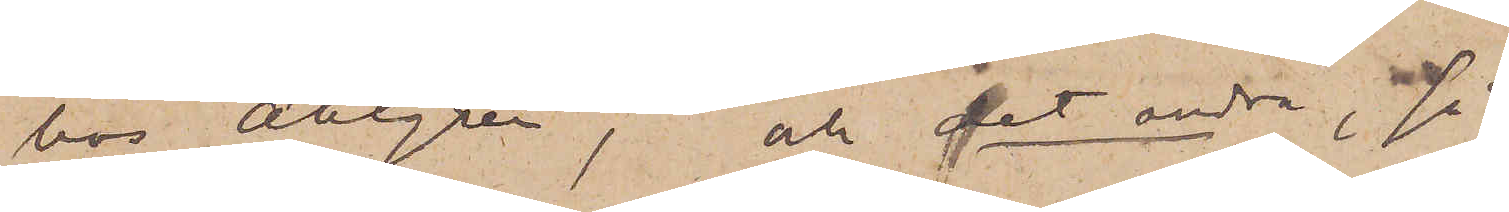hos Ahlgren, och det andra, så
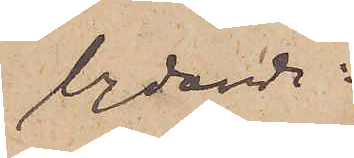lydande:
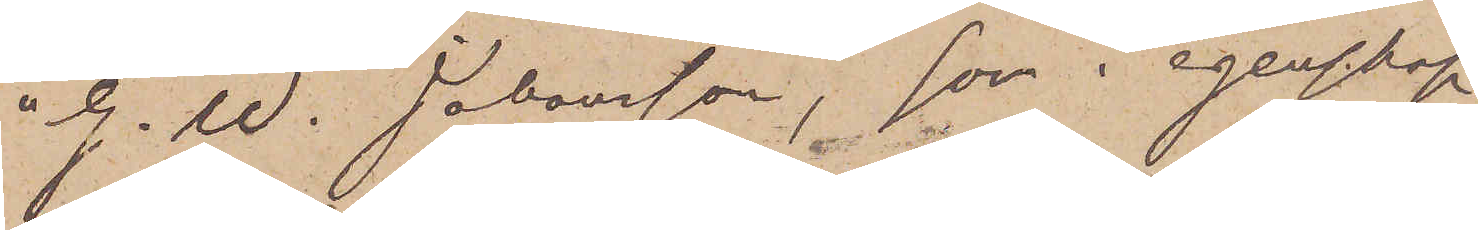"G. W. Johansson, som i egenskap
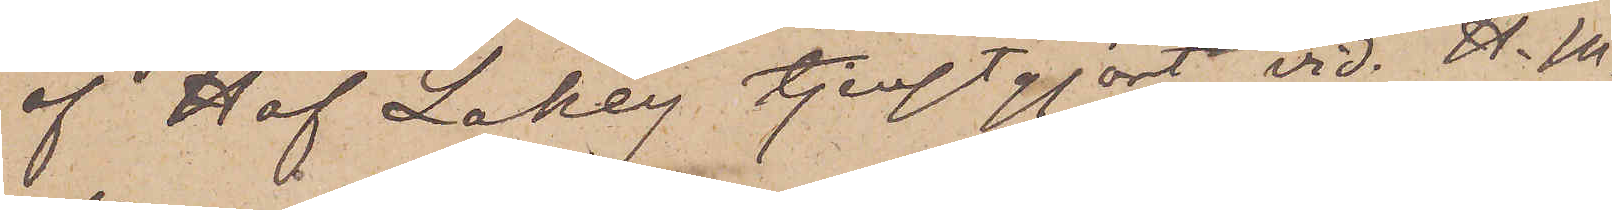af Hof Lakey tjenstgjort vid. H. M.
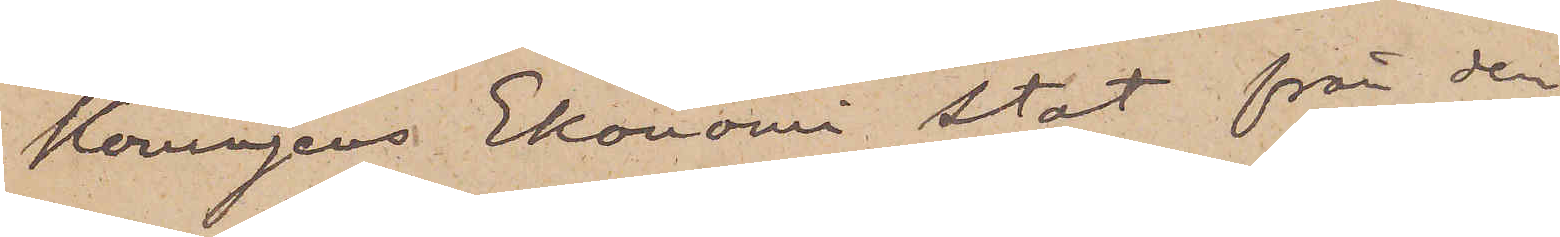Konungens Ekonomi stat från den
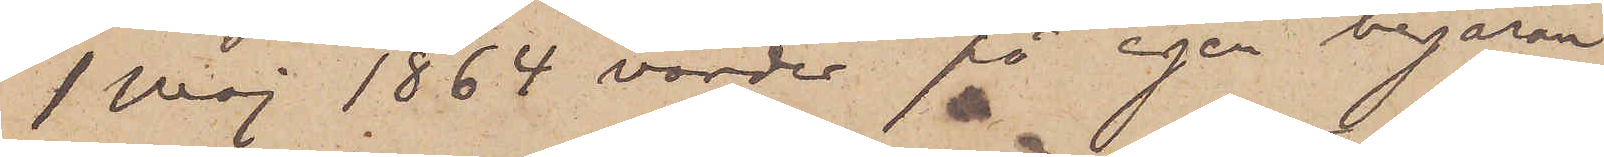1 Maj 1864 varder på egen begäran
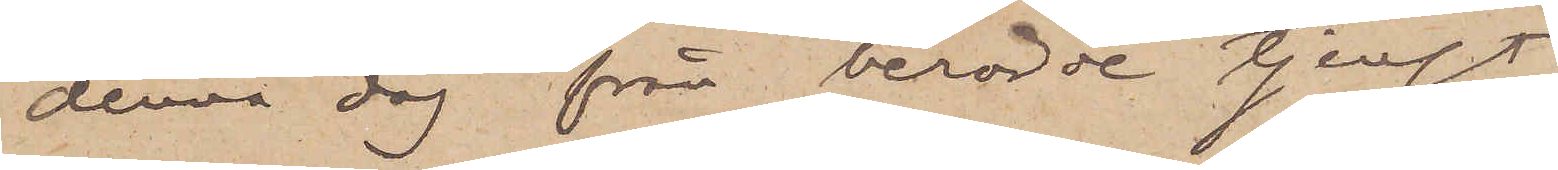denna dag från berörde tjenst
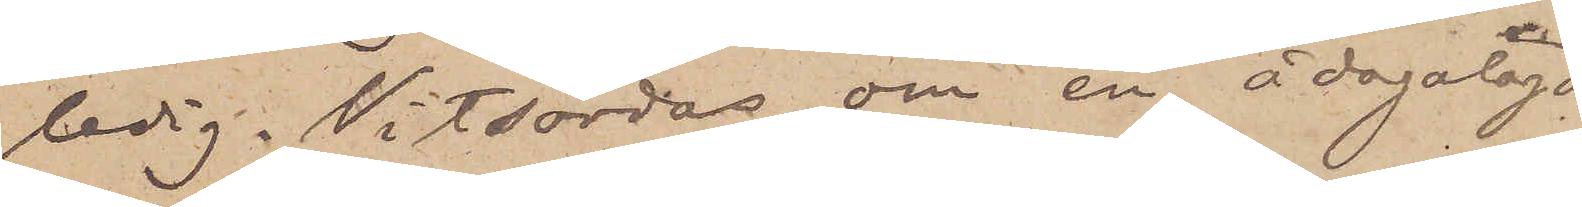ledig. Vitsordas om en ådagalagd
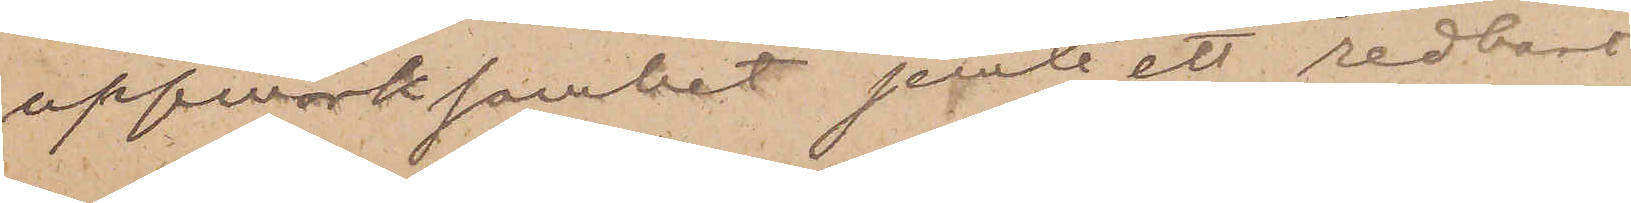uppmärksamhet jemte ett redbart
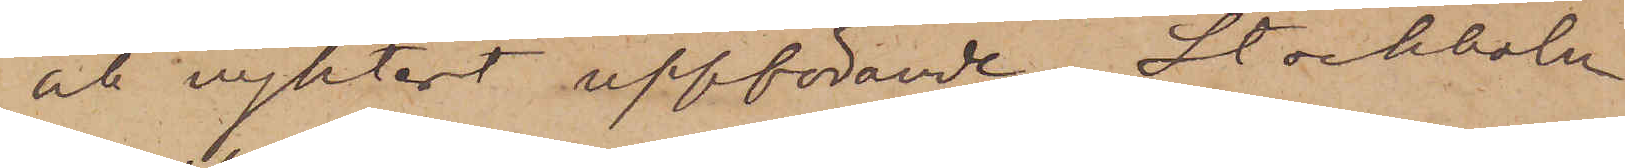och nyktert uppförande. Stockholm
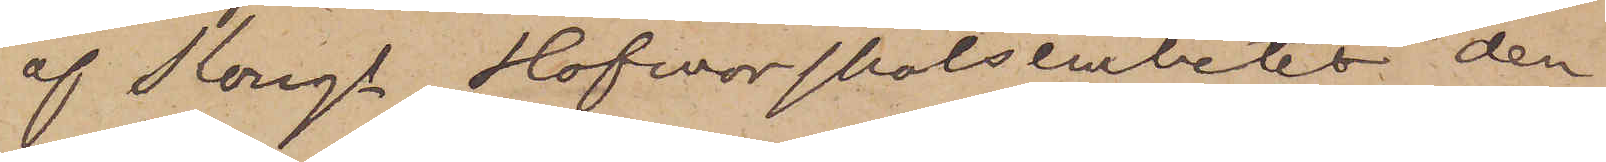af Kungl. Hofmarskalksembetet den
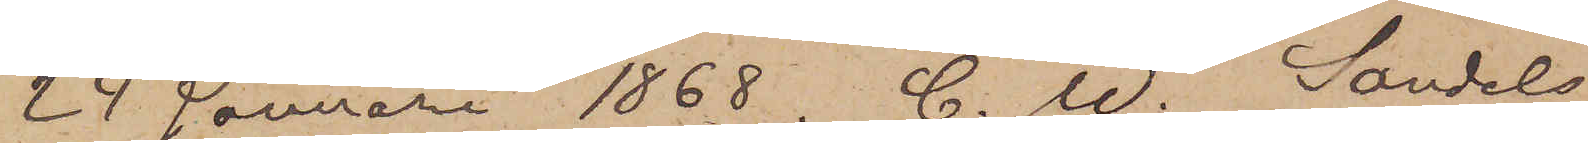24 Januari 1868. C. W. Sandels
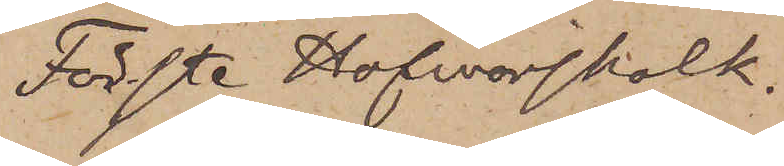Förste Hofmarskalk"
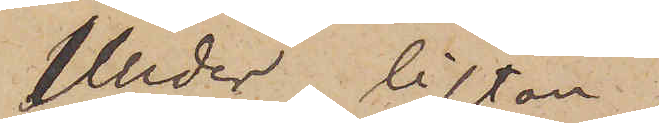Under listan
